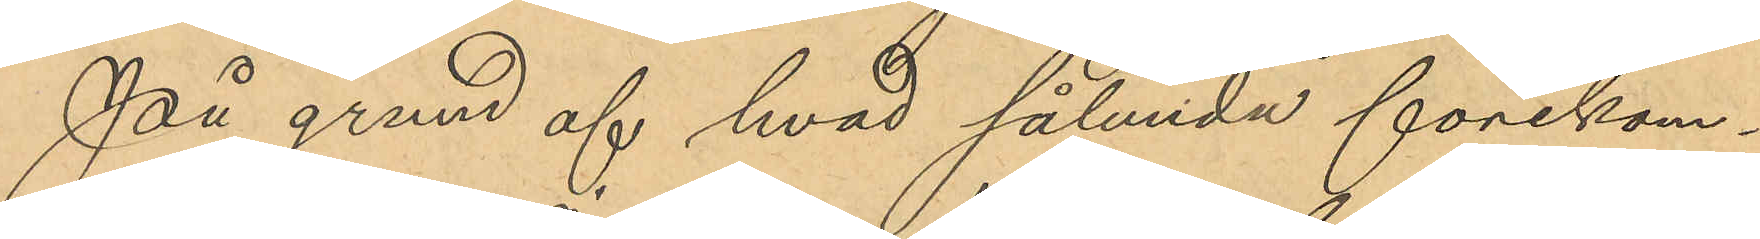På grund af hvad sålunda förekom¬
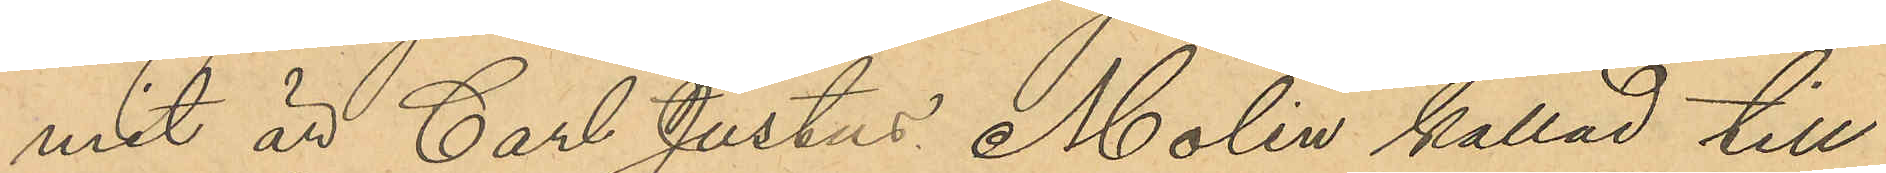mit är Carl Justus Molin kallad till
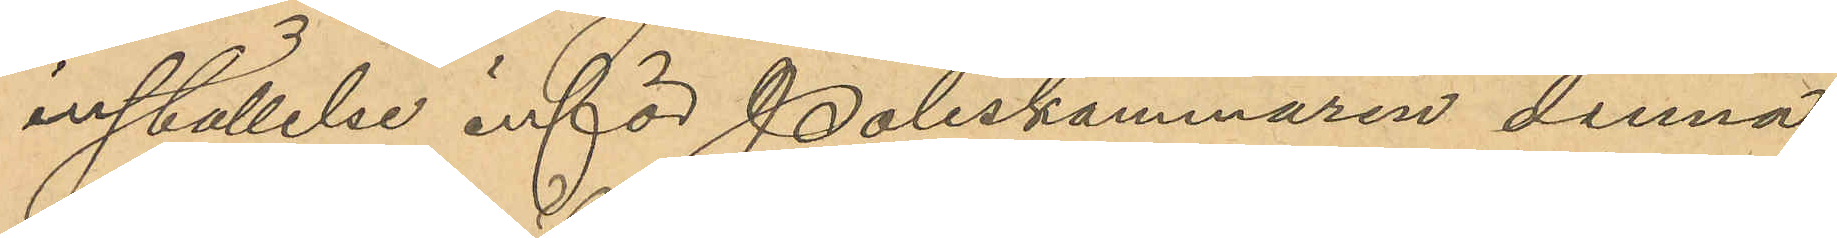inställelse inför Poliskammaren denna
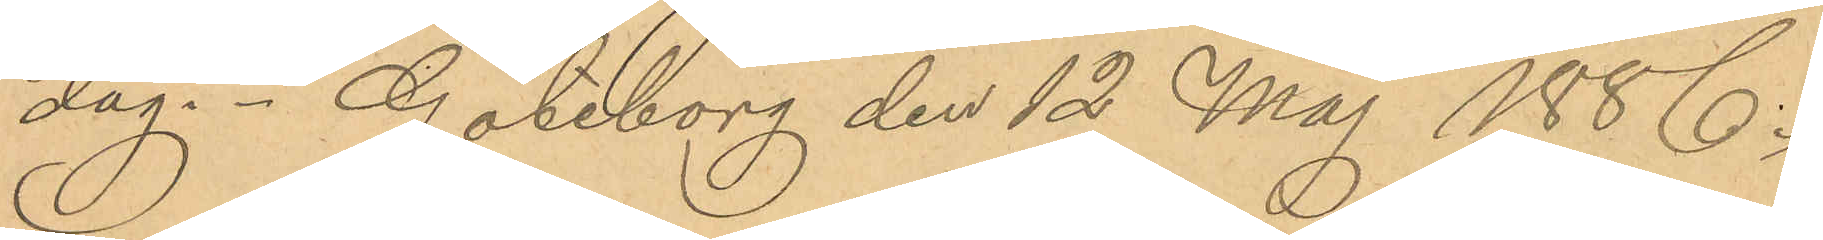dag. Göteborg den 12 Maj 1886.
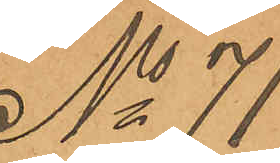No 71
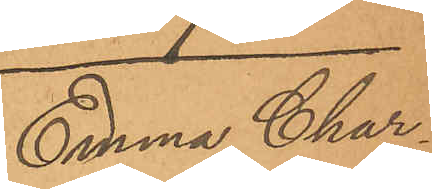Emma Char¬
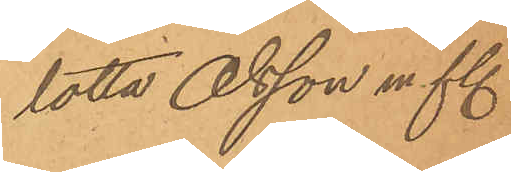lotta Olsson m fl.
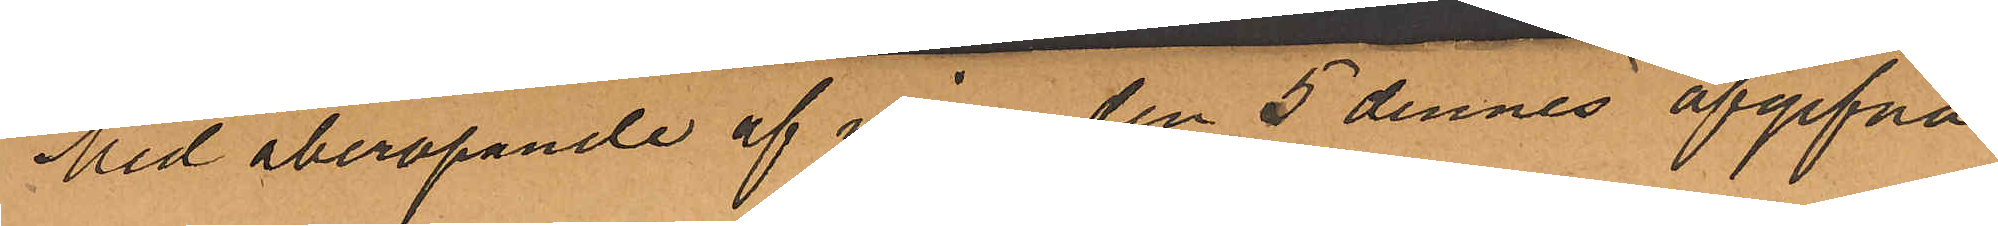Med åberopande af den  5 dennes afgifvna
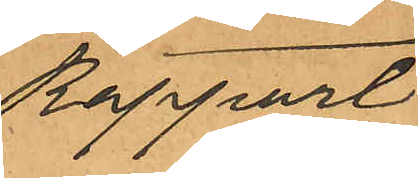rapport
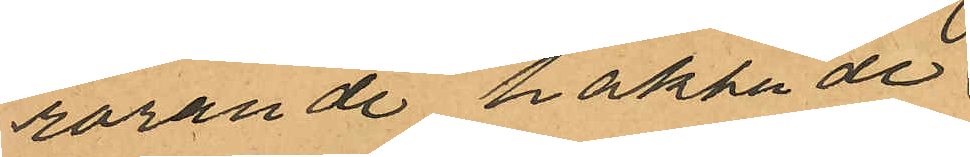rörande häktade 
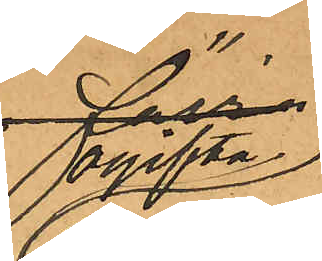ogifta
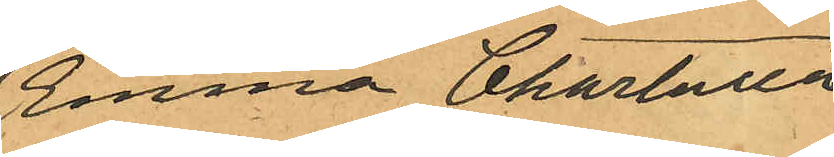Emma Charlotta
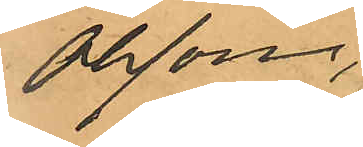Olsson,
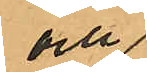och
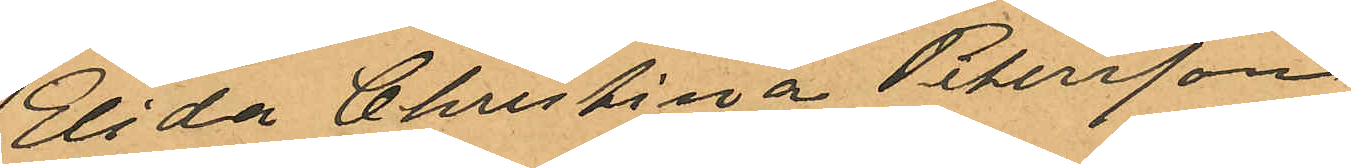Elida Christina Petersson
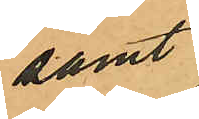samt
